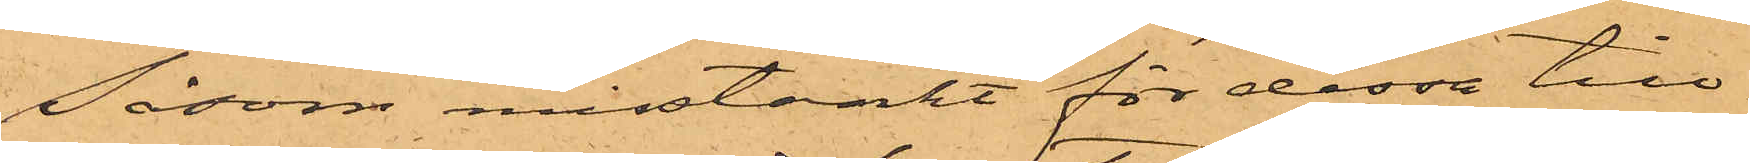Såsom misstänkt för dessa till¬
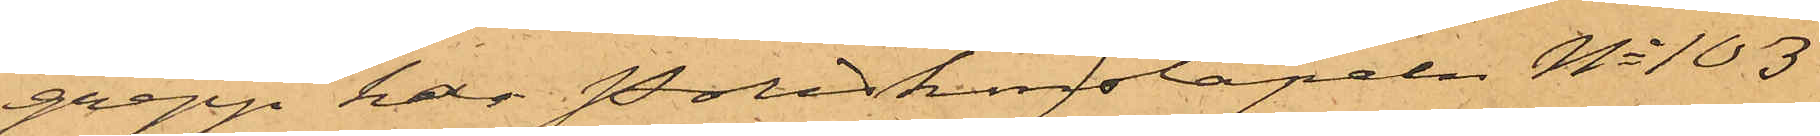grepp har Poliskonstapeln No 103
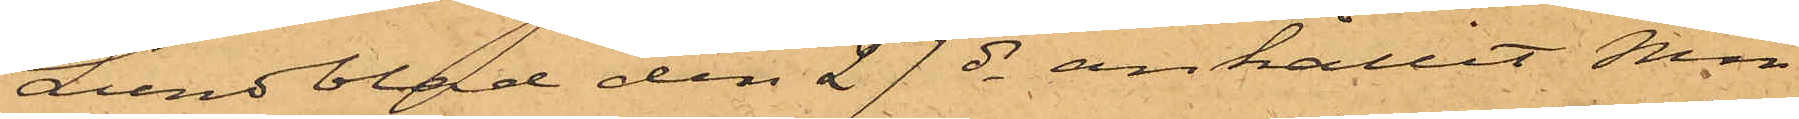Lundblad den 27 ds anhållit Min¬
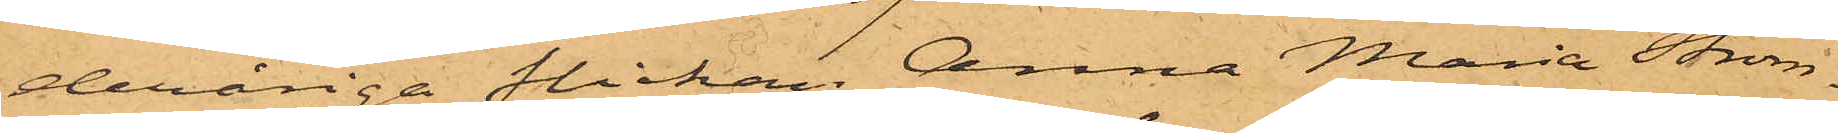deråriga flickan Anna Maria Ström¬
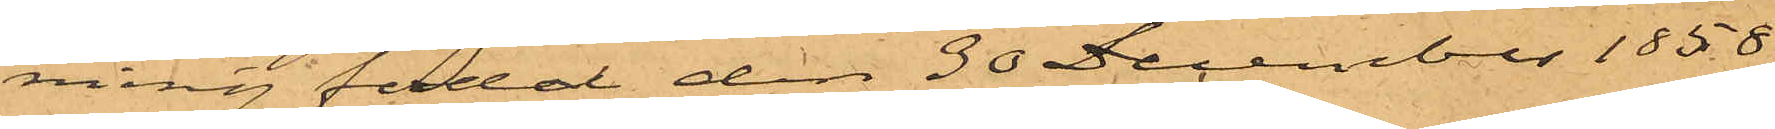ming född den 30 December 1858
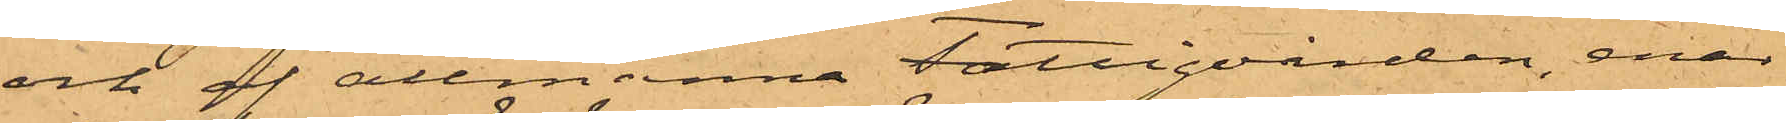och af allmänna Fattigvården, enär
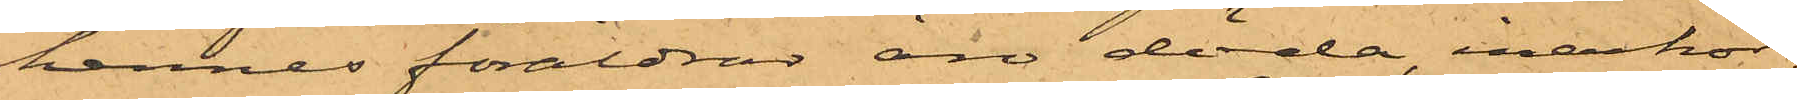hennes föräldrar äro döda, inackor¬
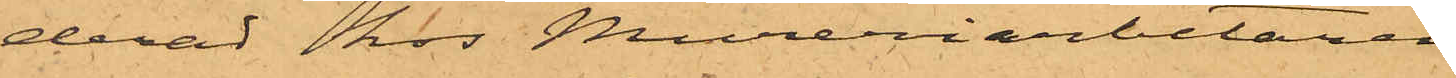derad hos Mureriarbetaren
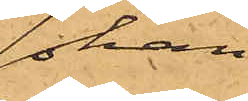Johan
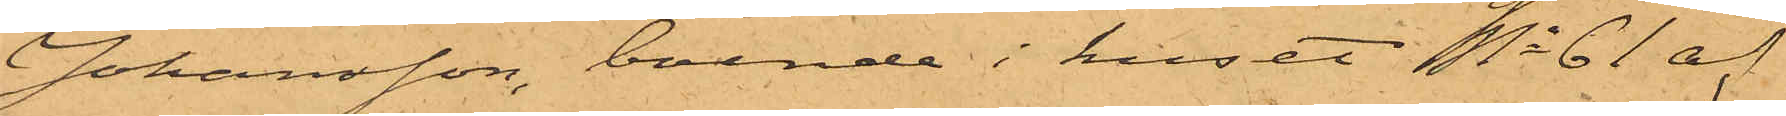Johansson, boende i huset No 61 af
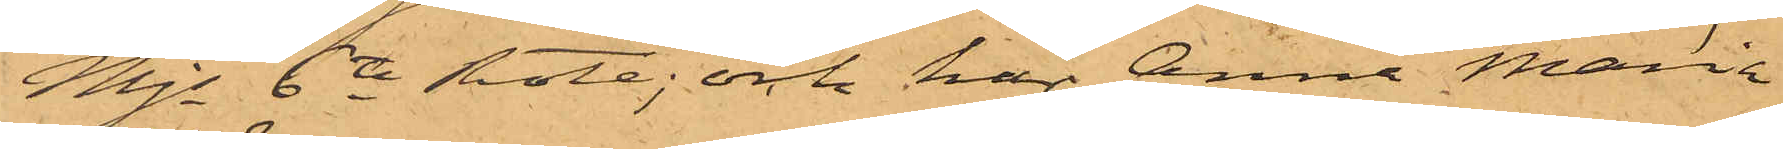Mjs 6te Rote; och har Anna Maria
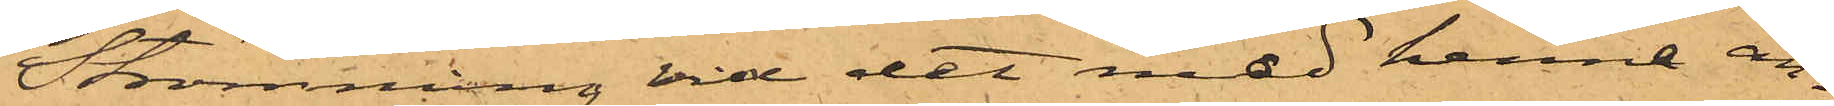Strömming vid det med henne an¬
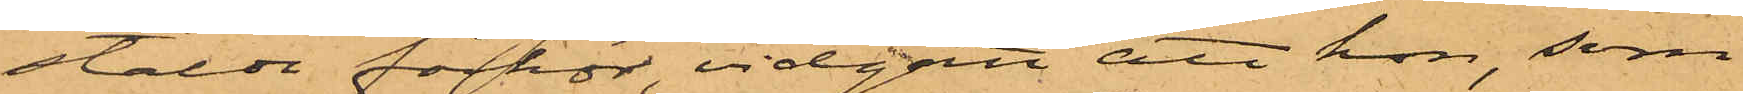stäldt förhör, vidgått att hon, som
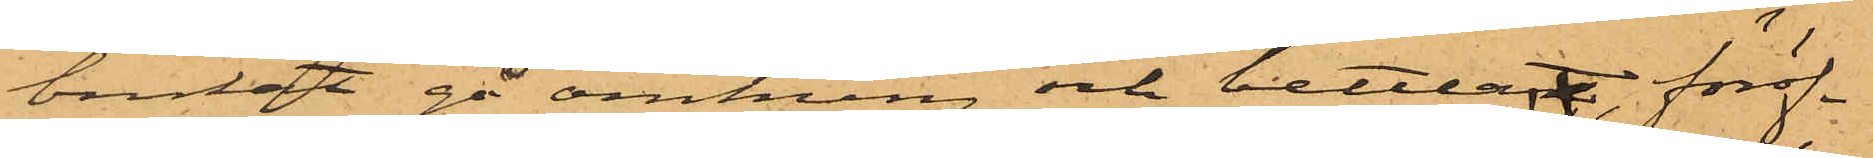brukat gå omkring och bettlat, föröf¬
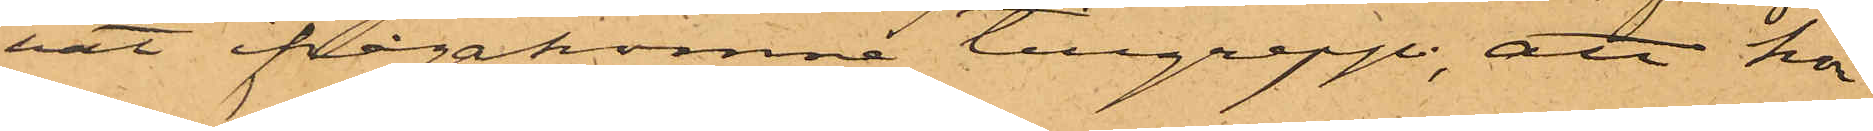vat ifrågakomne tillgrepp; att hon
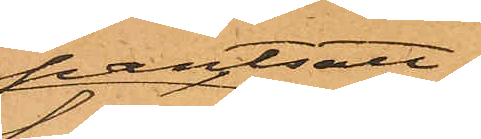pantsatt
